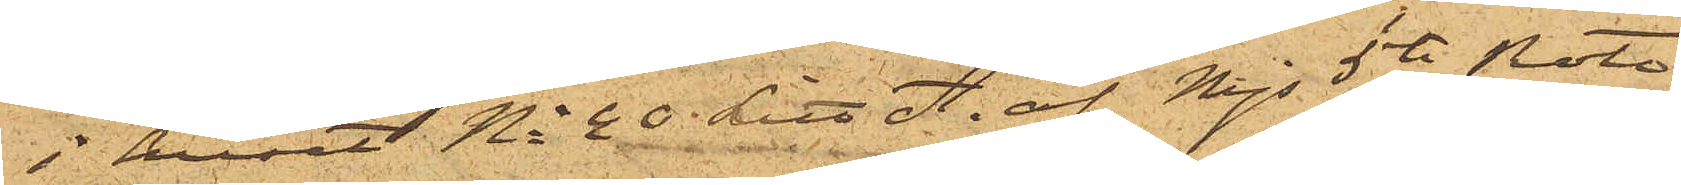i huset No 40 Litt A. af Majs 5te Rote,
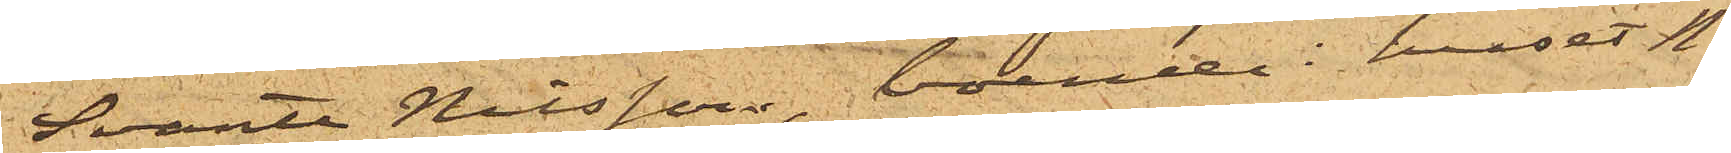Svante Nilsson, boende i huset No
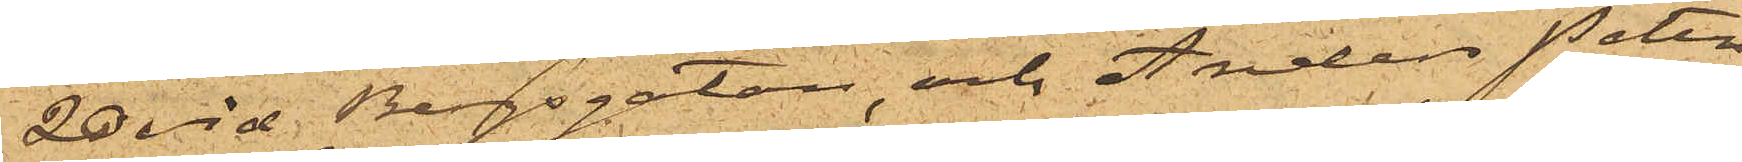20 vid Bergsgatan, och Anders Peter¬
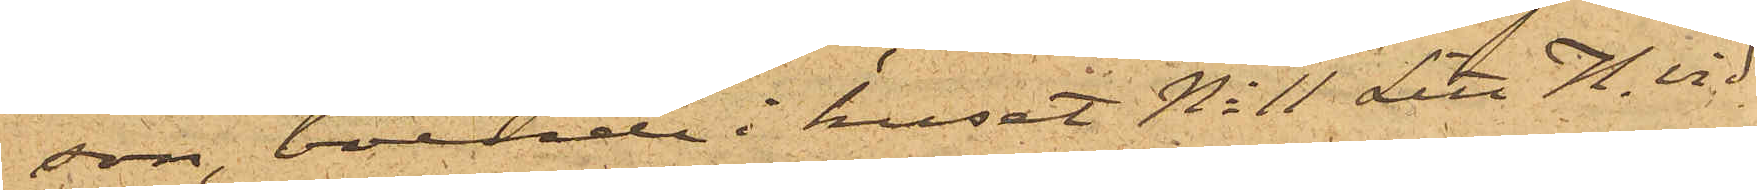son, boende i huset No 11 Litt H. vid
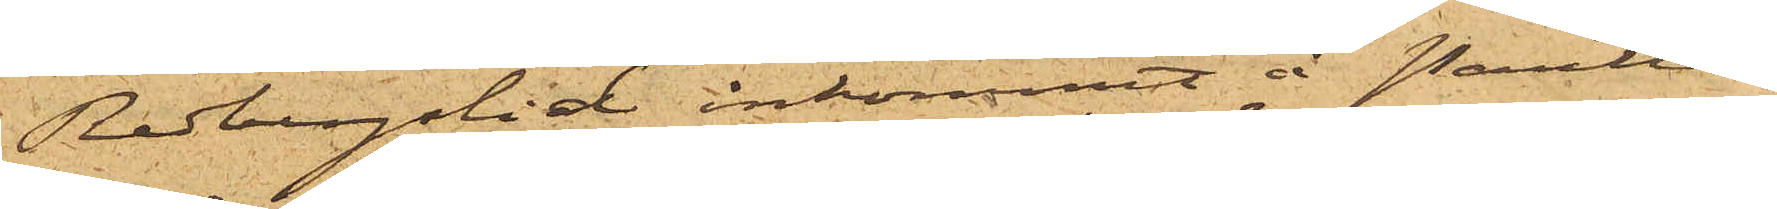Redbergslid inkommit å Pantlå¬
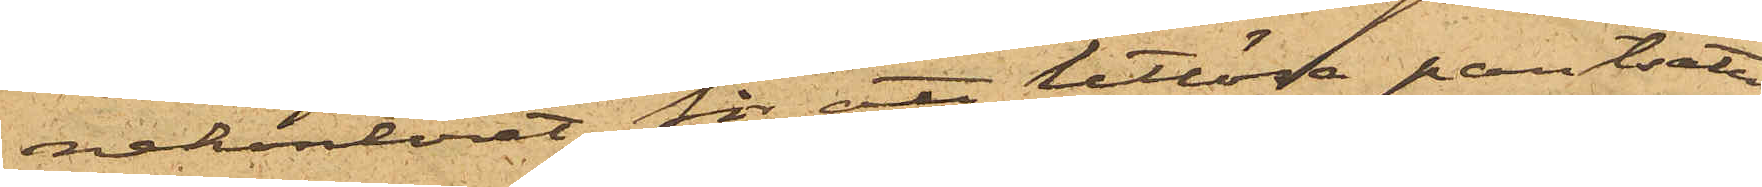nekontoret för att utlösa pantsatte
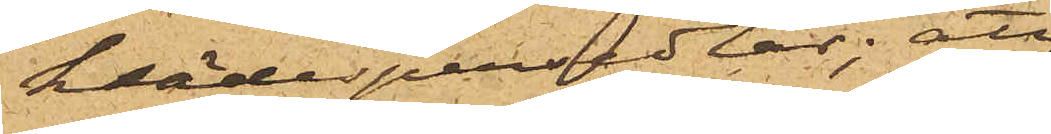klädespersedlar; att
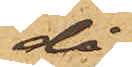då
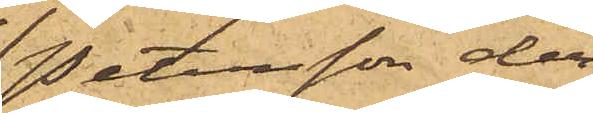Petersson dess¬
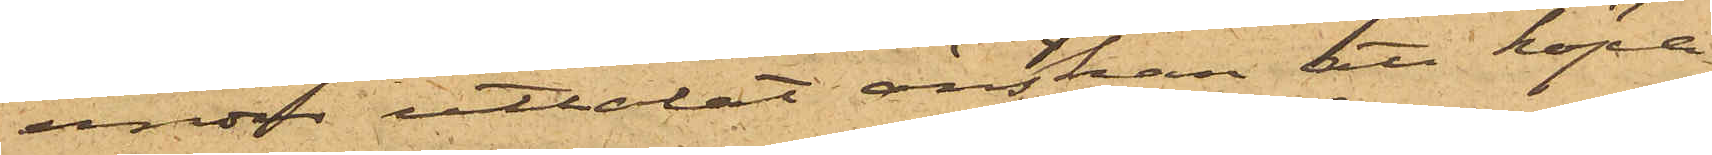utom uttalat önskan att köpa
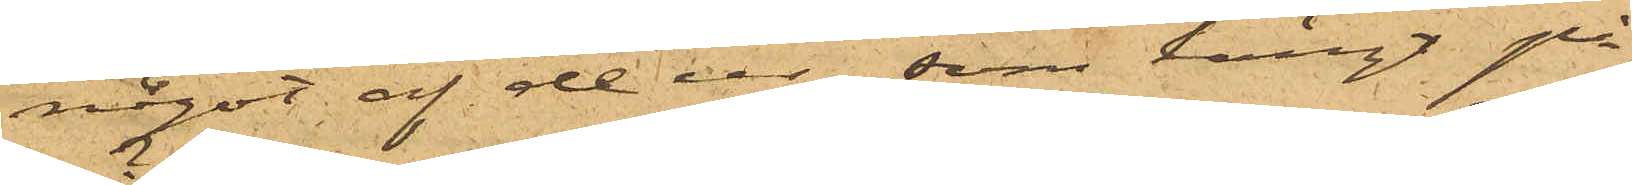något af de ur, som hängt på
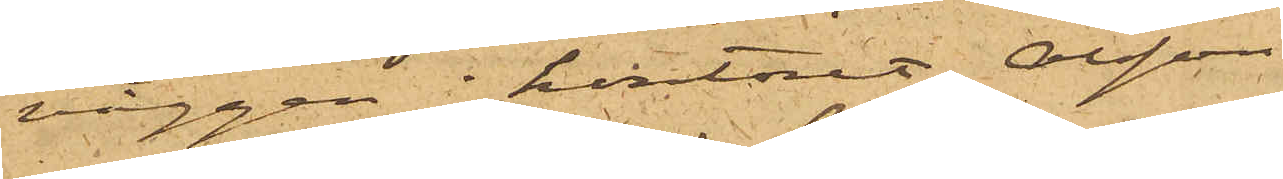väggen i kontoret, Olsson
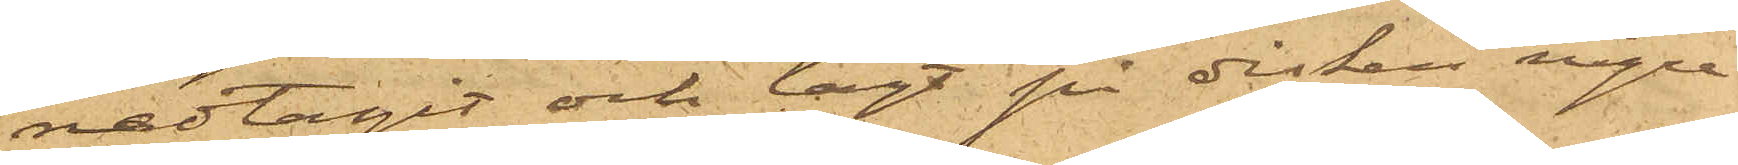nedtagit och lagt på disken några
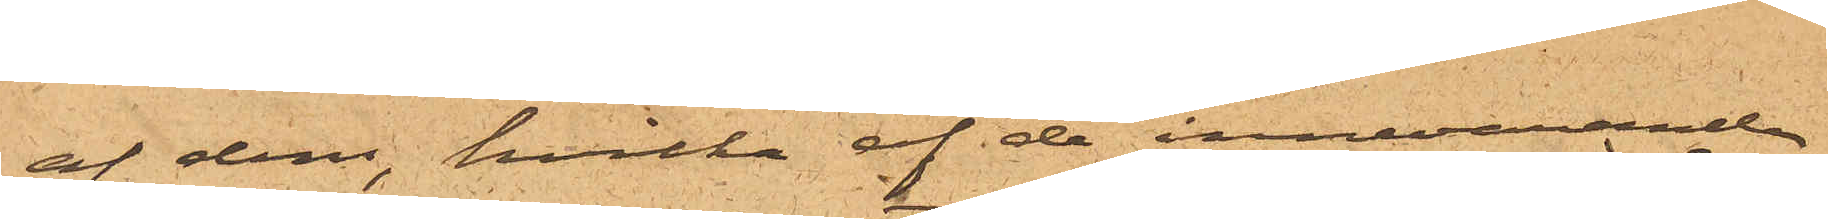af dem, hvilka af de innevarande
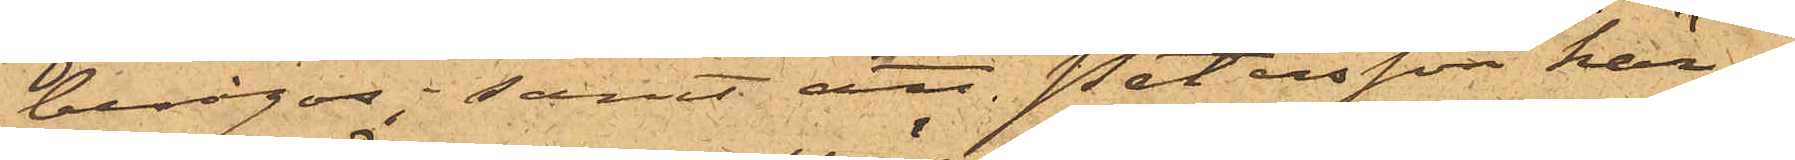besågos; samt att Petersson här¬
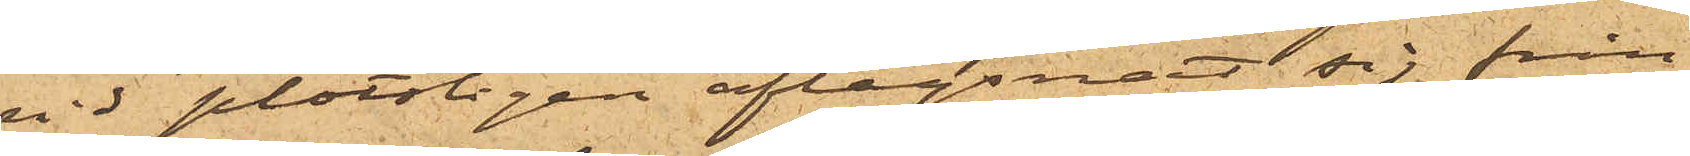vid plötsligen aflägsnat sig från
